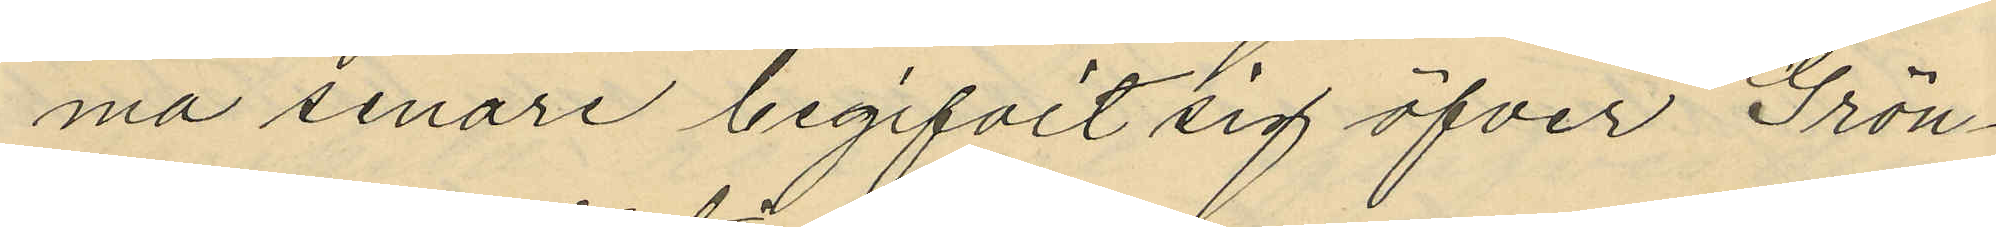ma senare begifvit sig öfver Grön¬
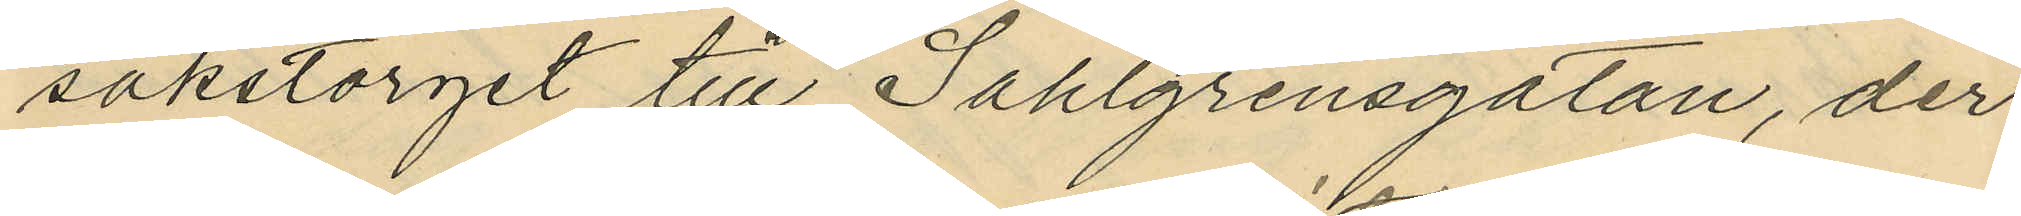sakstorget till Sahlgrensgatan, der
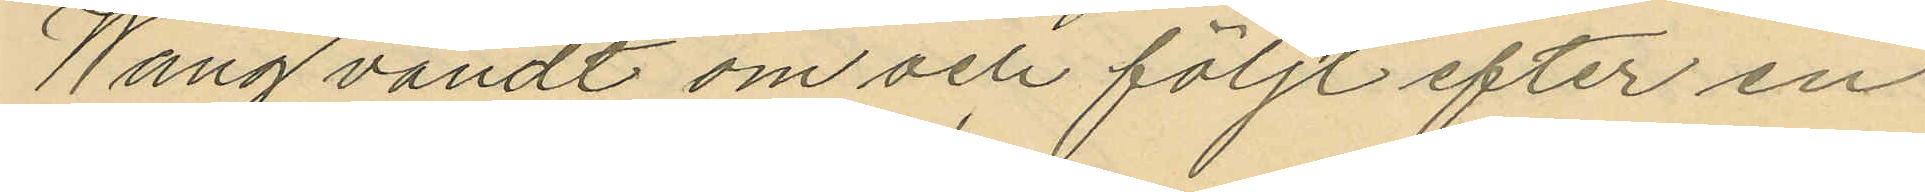Wang vändt om och följt efter en
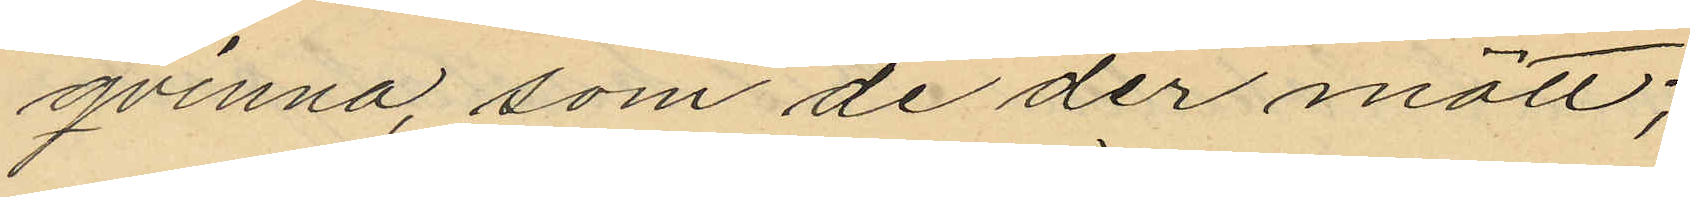qvinna, som de der mött;
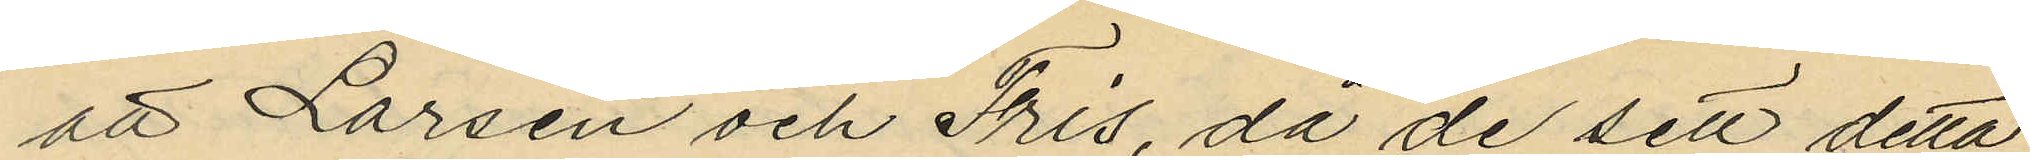att Larsen och Fris, då de sett detta
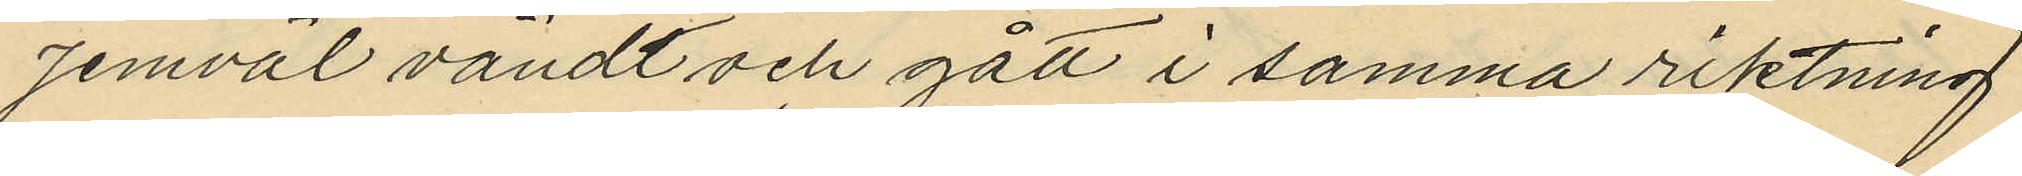jemväl vändt och gått i samma riktning
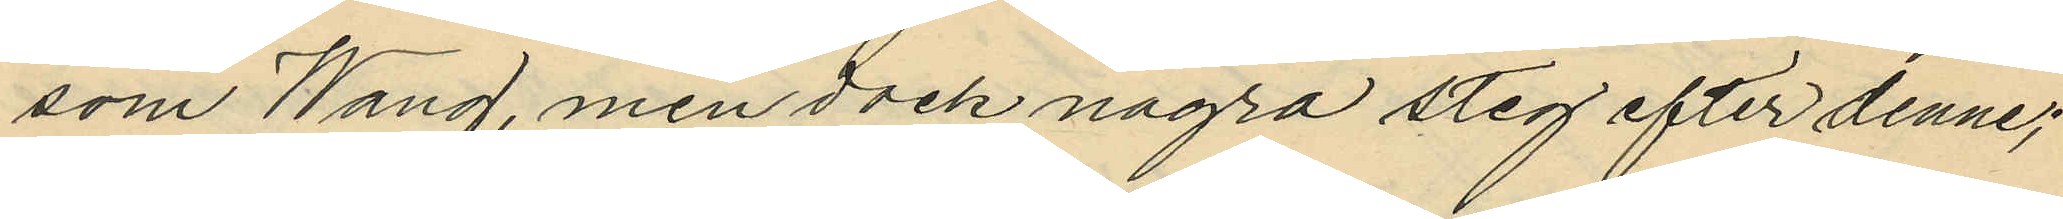som Wang, men dock några steg efter denne;
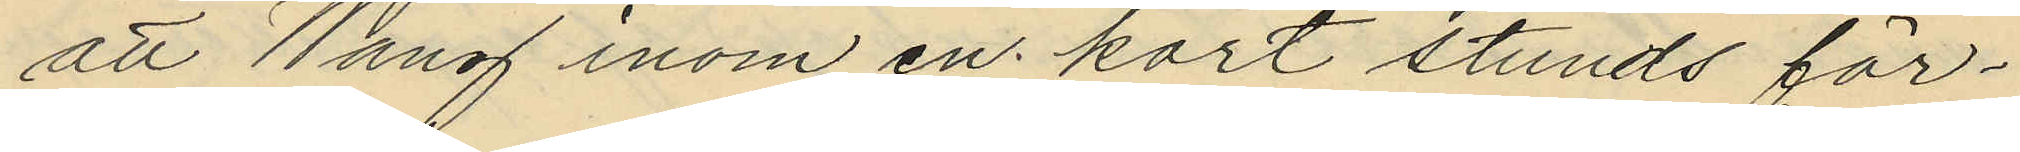att Wang inom en kort stunds för¬
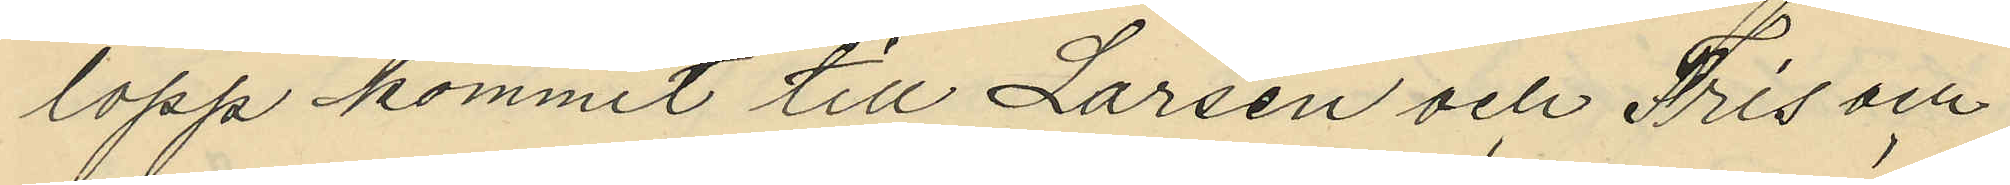lopp kommit till Larsen och Fris och
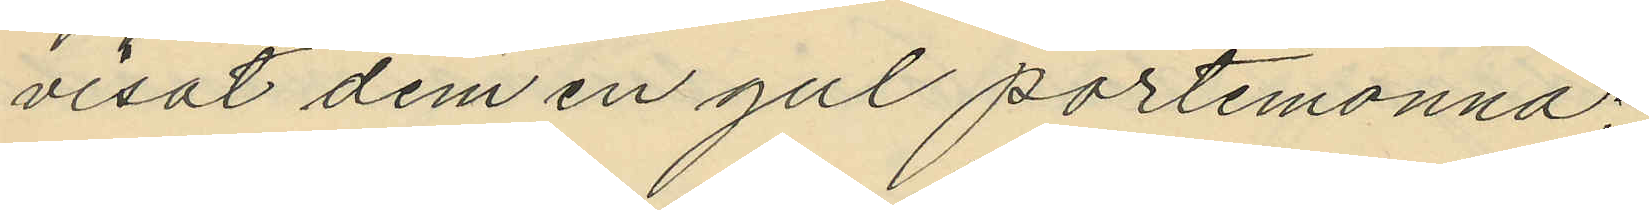visat dem en gul portemonnä;
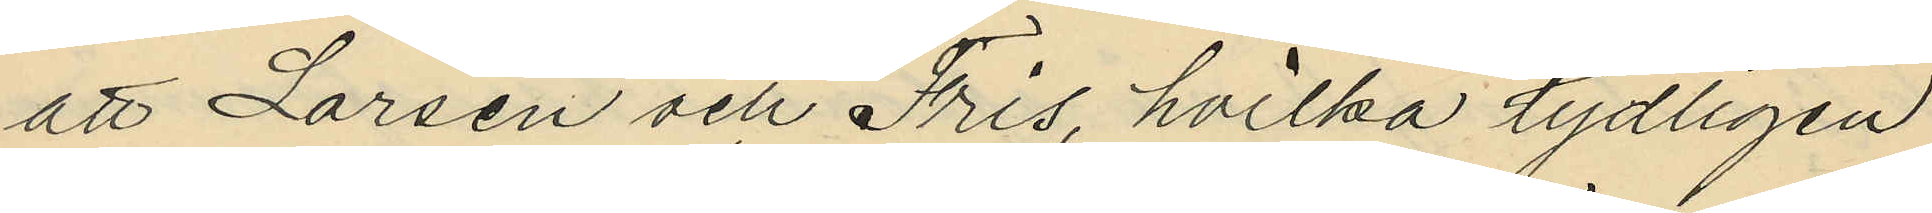att Larsen och Fris, hvilka tydligen
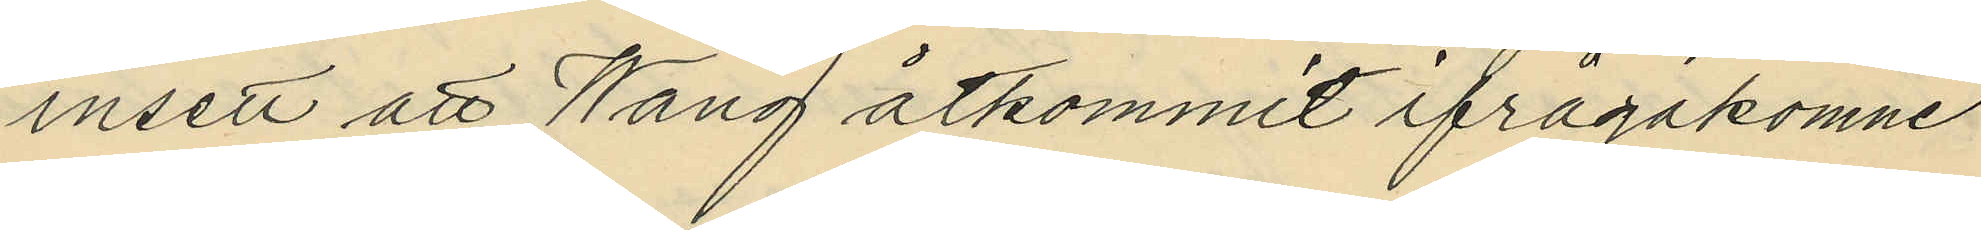insett att Wang åtkommit ifrågakomne
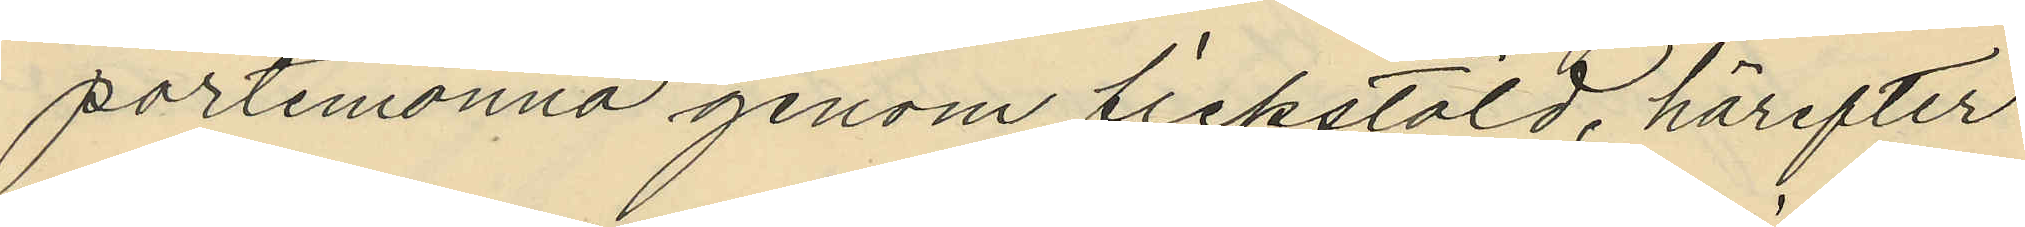portemonnä genom fickstöld, härefter
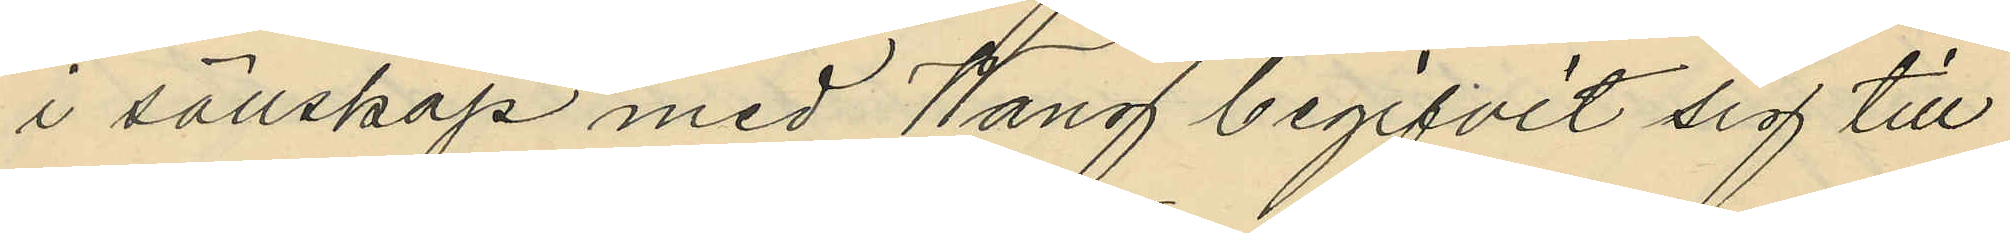i sällskap med Wang begifvit sig till
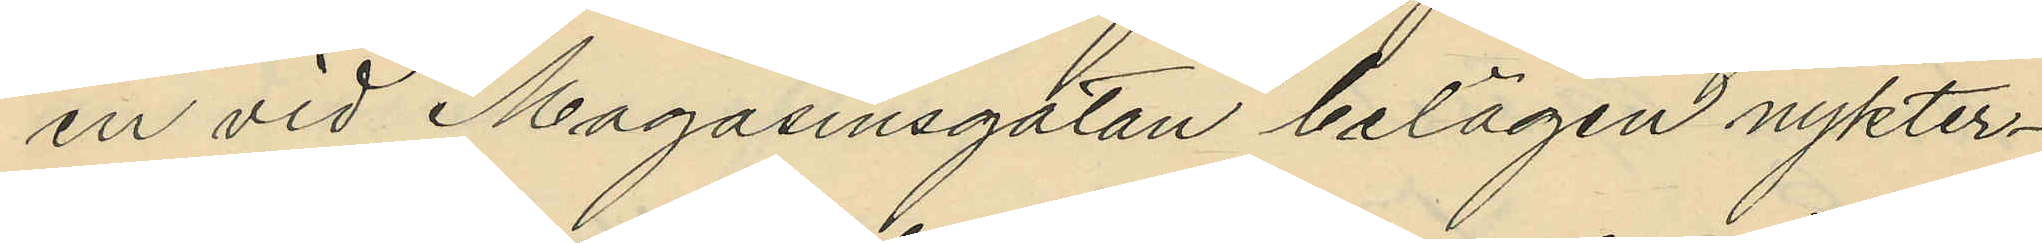en vid Magasinsgatan belägen nykter¬
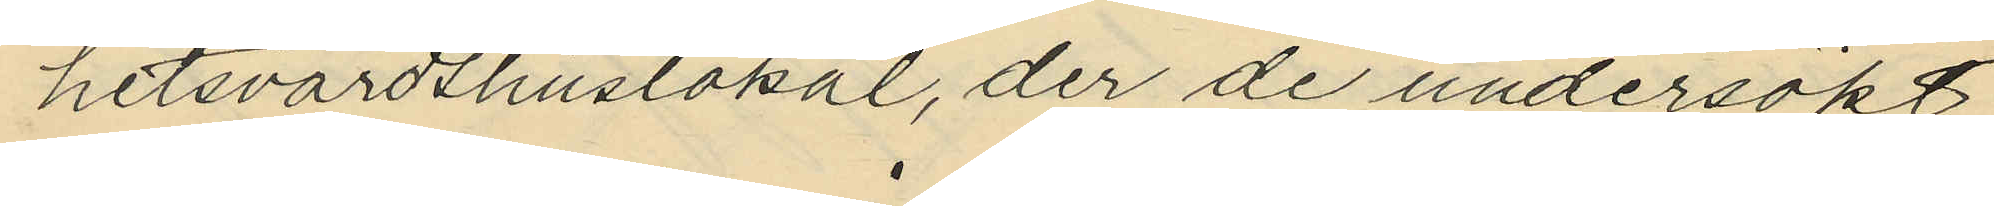hetsvärdshuslokal, der de undersökt
